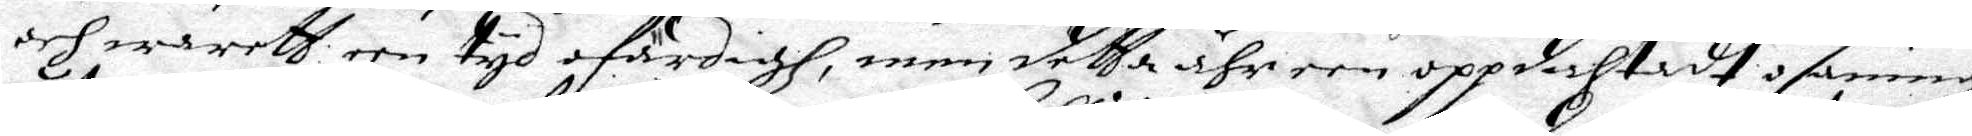och wareth een tyd ofärdigh, men detta ähr een oppdichtadt osanningh
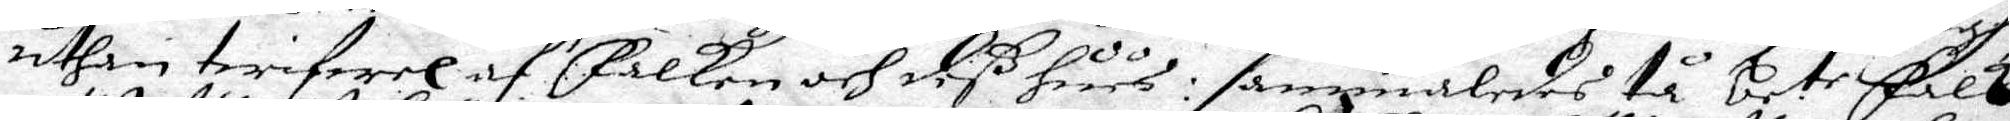uthan twifwel af Falken och deß huus: i sammaledes tå be.te Falk
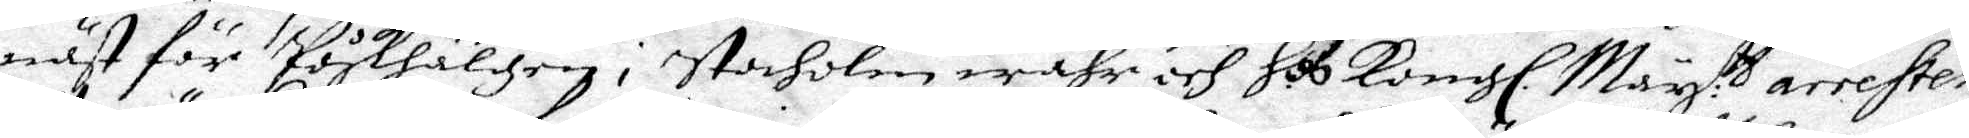näst för Påskhälgen i Stocholm wahr och Hos Kongl. May:tt arresten
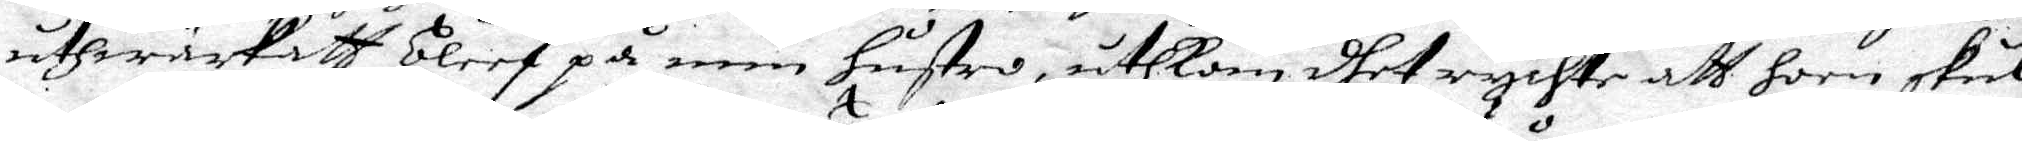uthwärkatt bleef på min hustro, uthkom dhet rychte att hoon skul¬
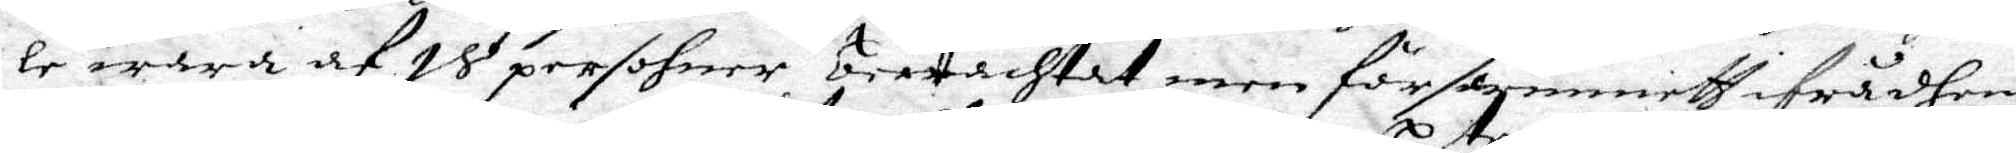le wara af 18 persohner betrachtat, men försvunnitt ifrå dhem
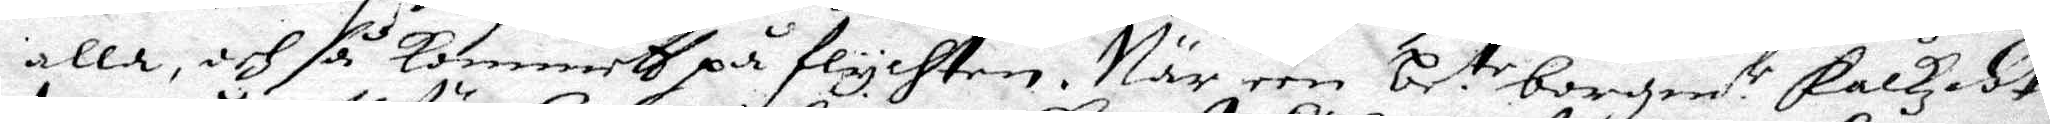alla, och så kommett på flychten. När een be:te borgm.r Falkz dot¬
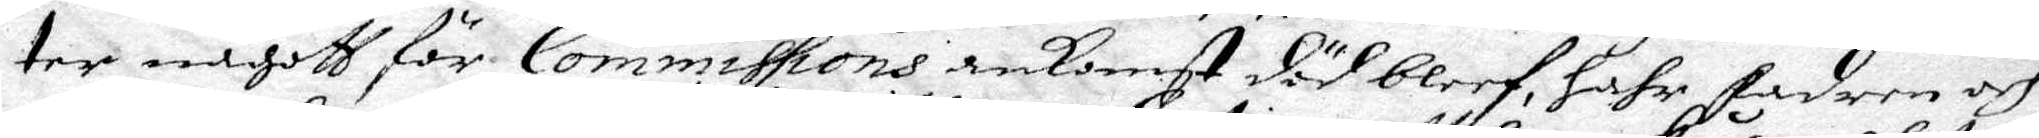ter någott för Commissions ankomst död bleef, hahr fadren och 
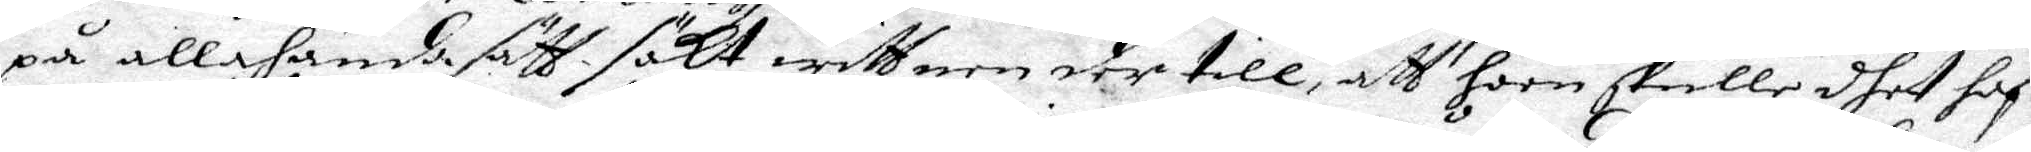på allahanda sätt sökt wittnen der till, att hoon skulle dhet haf¬
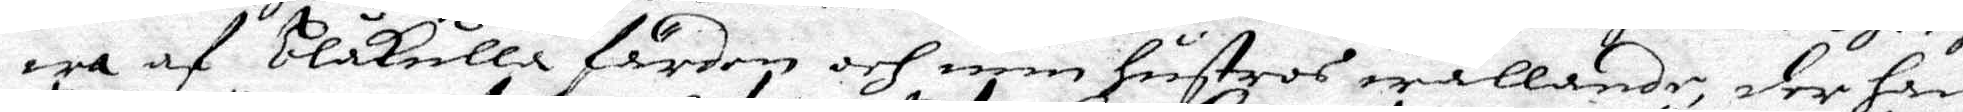wa af blåkulla färden och min hustros wållande, der han
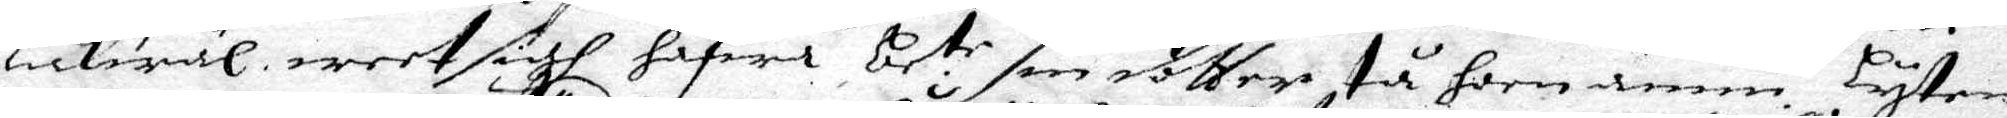lickwäl weet sigh hafwa be:te sin dotter tå hon ännu lyten
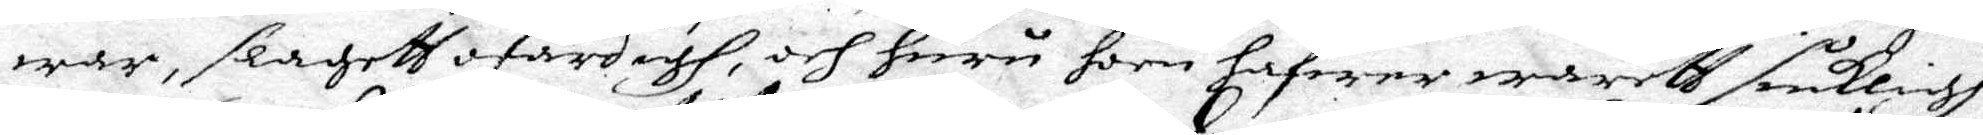war, slagett ofärdigh, och huru hoon hafwer wareth siukligh
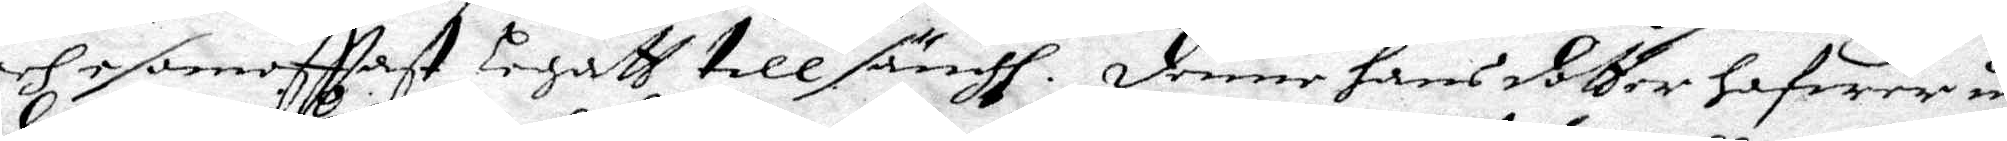och som offtast legatt till sängh. Denne hans dotter hafwer un¬
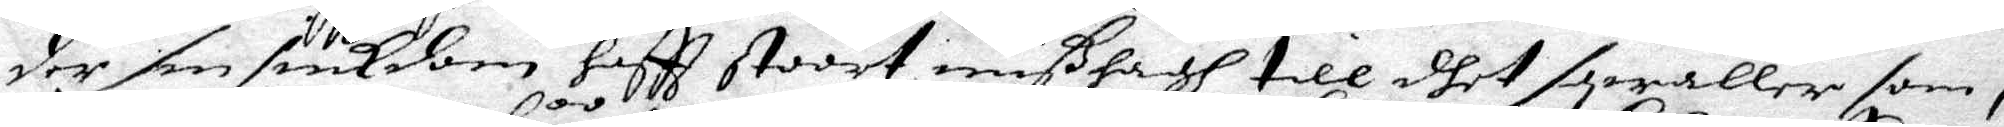der sin siukdom hafft stoort mißhagh till dhet sqwaller som i
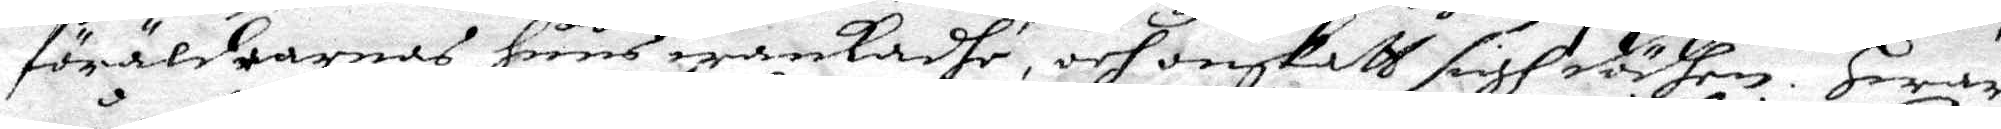föräldrarnas huus wankadhe, och onskath sigh dödhen. Hwar
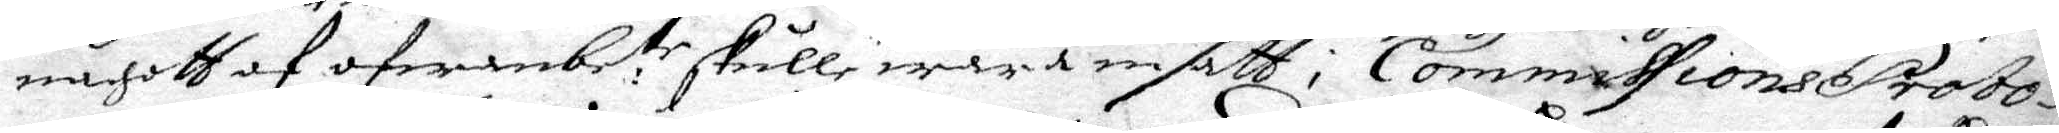någott af ofwanbe:te skulle wara insatt i Commissions Proto¬
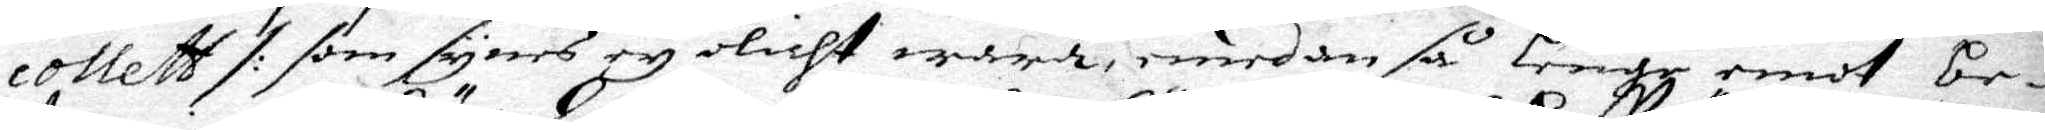collett /: som synes ey olicht wara, emedan så Lenge emot be¬
